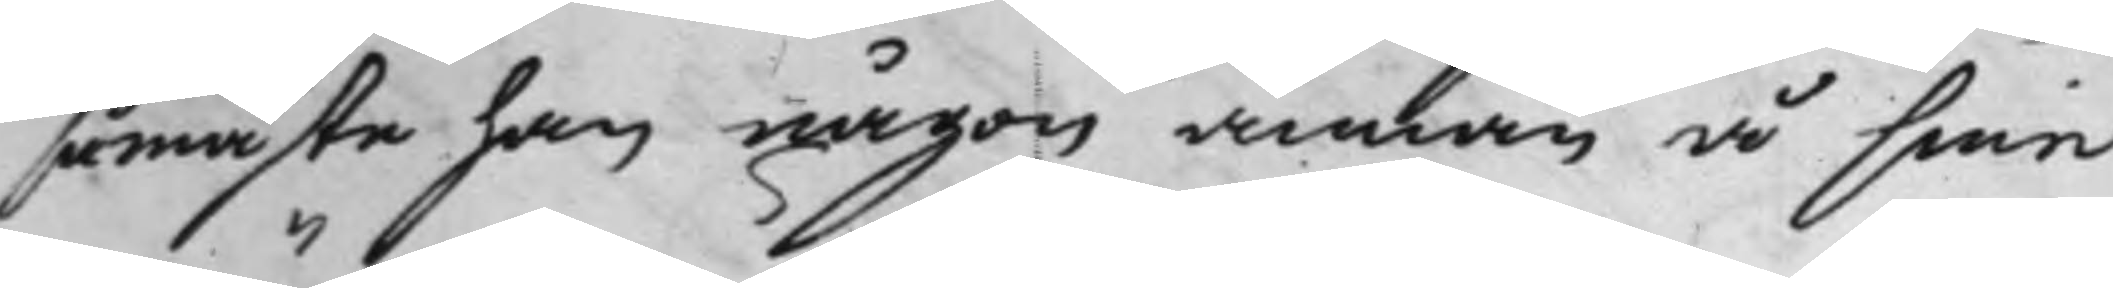så måste han någon annan å sine
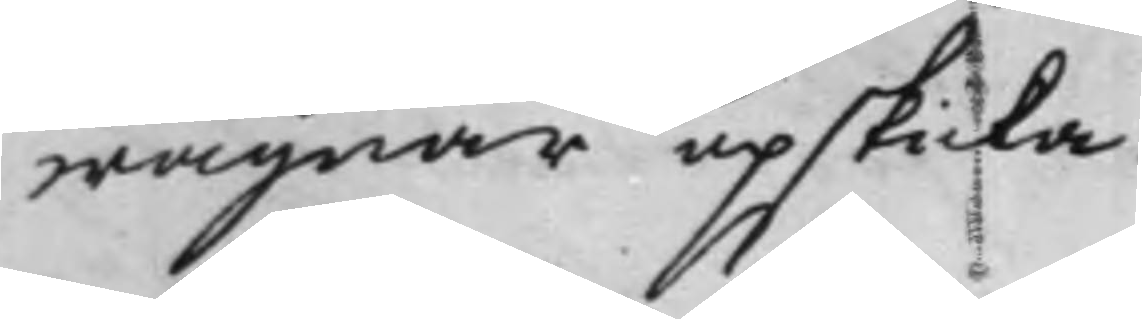wägnar upskicka.
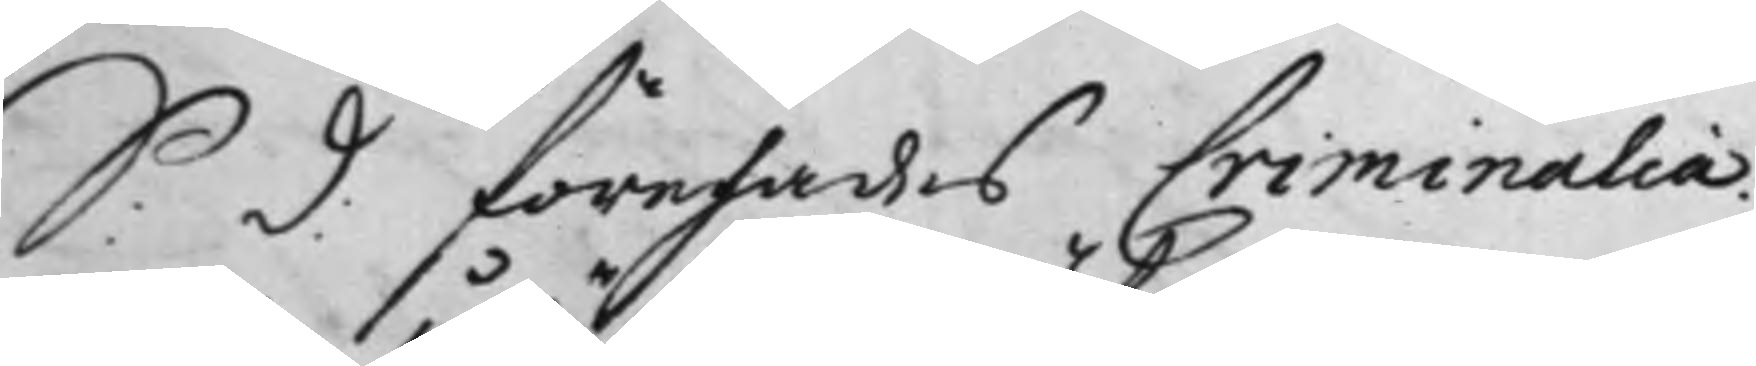S: d: förehades Criminalia.
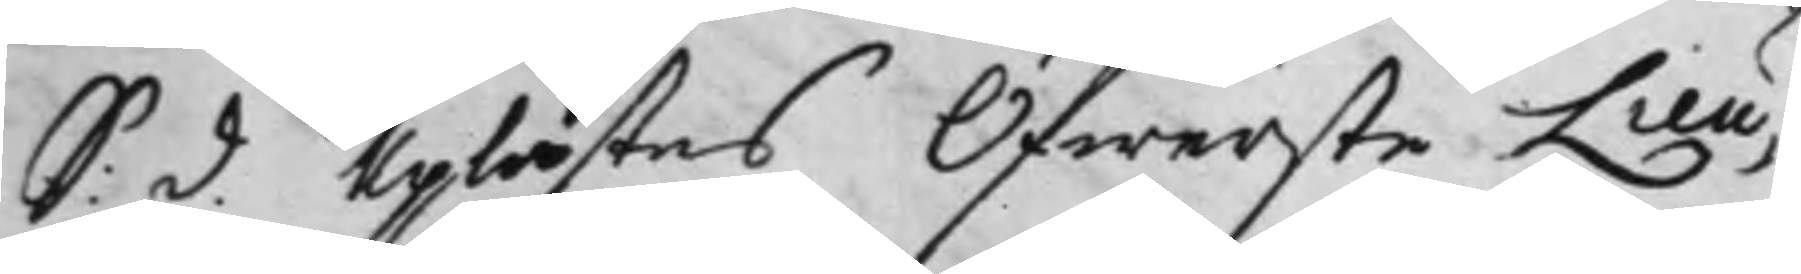S: d. uplästes Öfwerste Lieu¬
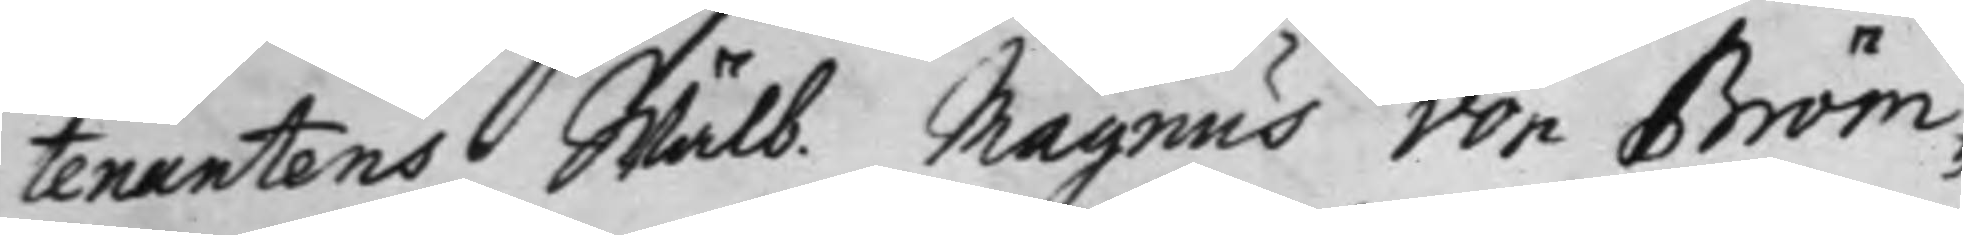tenantens Wälb. Magnus von Bröm¬
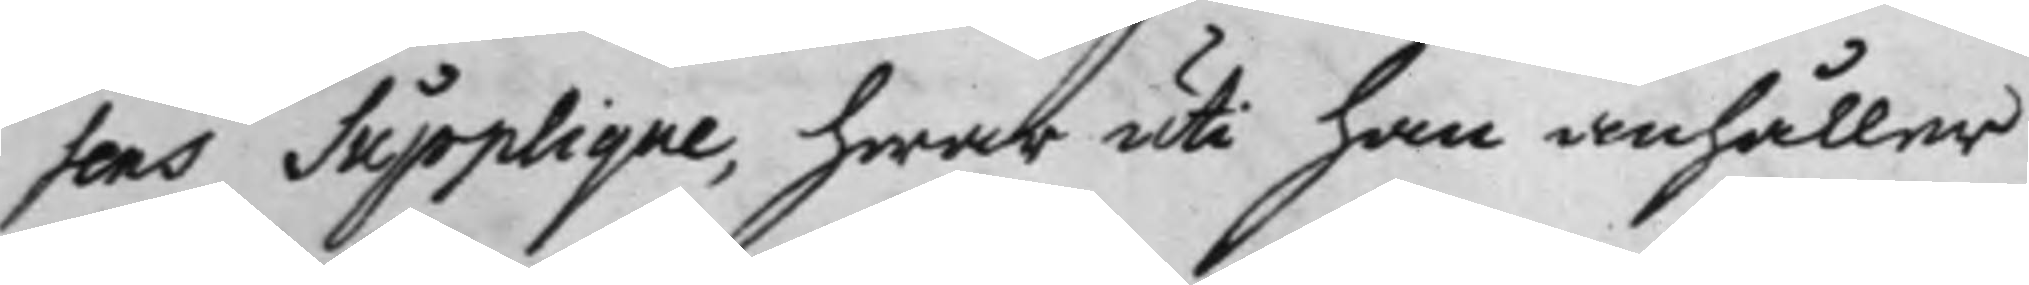sens Supplique, hwar uti han anhåller
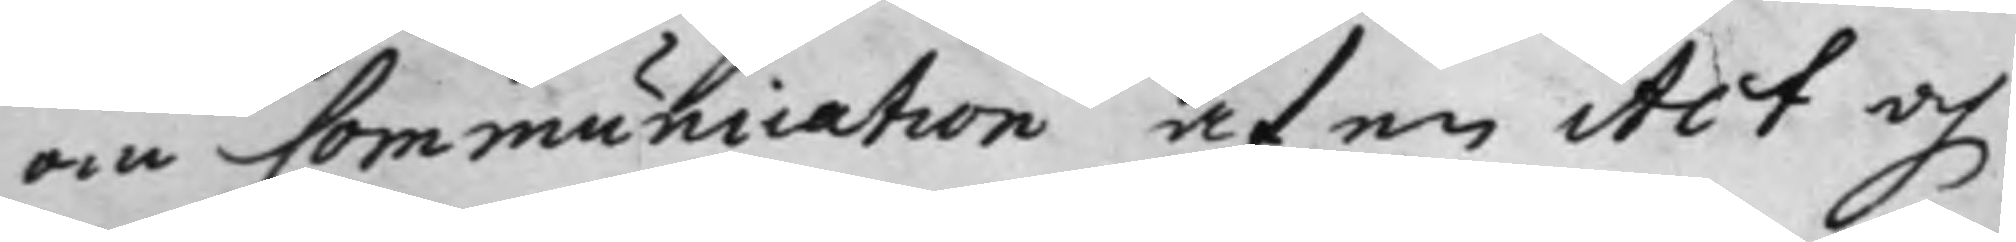om Communication af en Act och
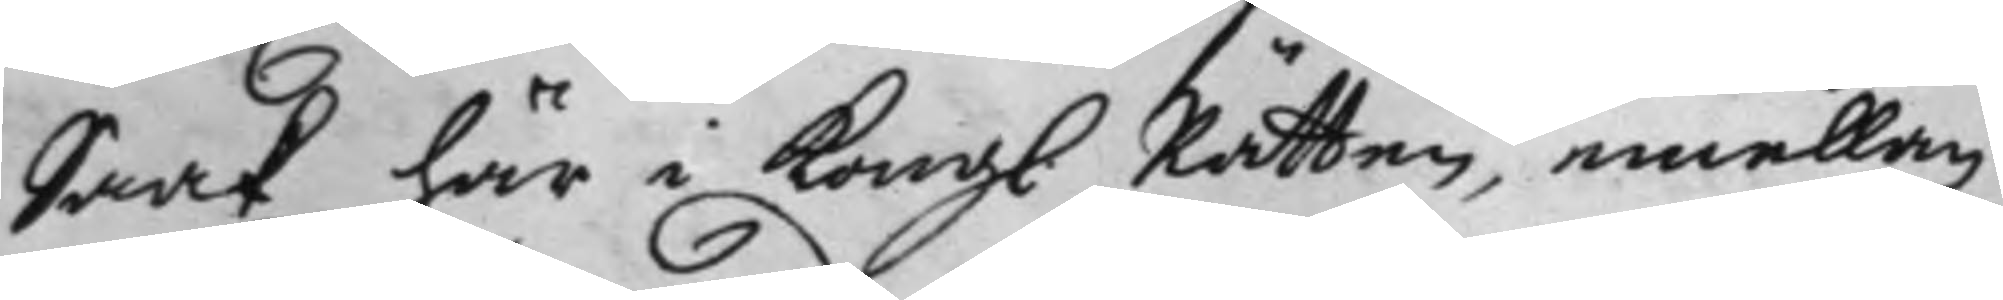Saak här i Kongl. Rätten, emellan
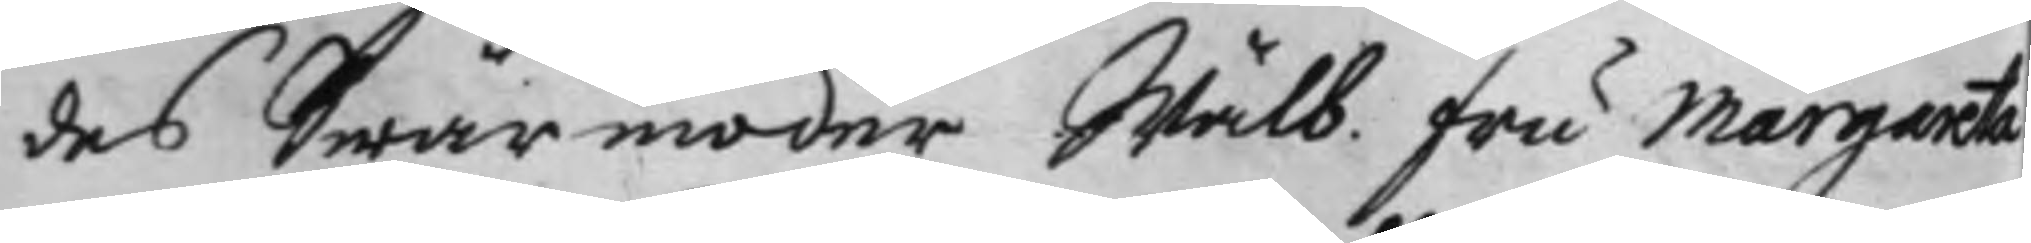des Swärmoder Wälb. fru Margareta
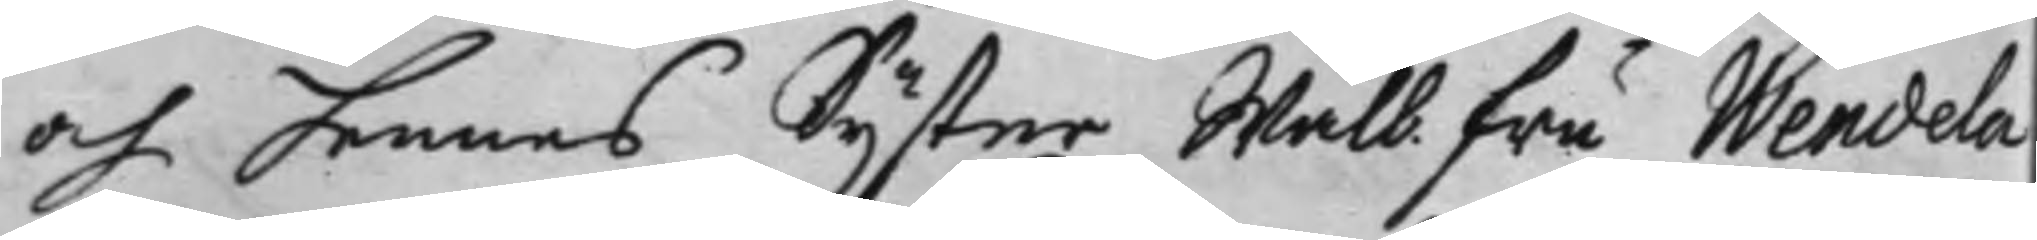och hennes Syster Walb. fru Wendela
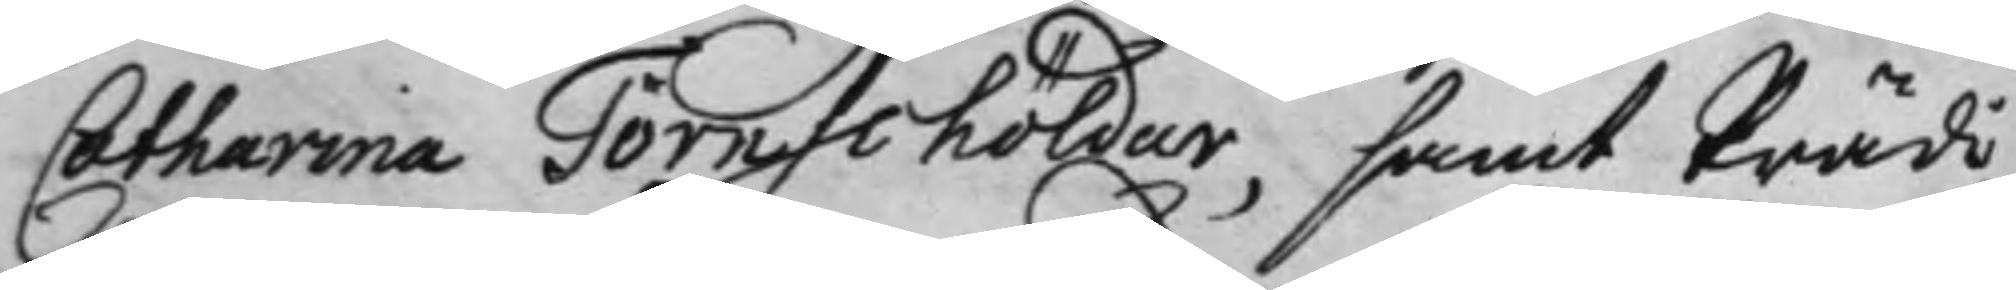Catharina Törnschöldar, samt Prädi¬
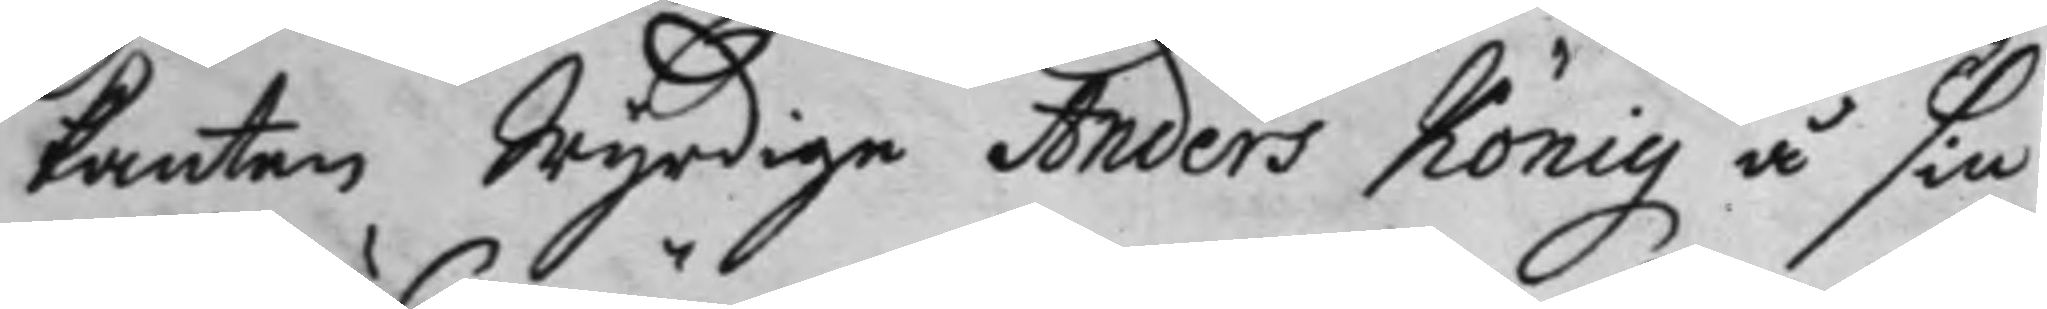kanten Wyrdige Anders König å sin
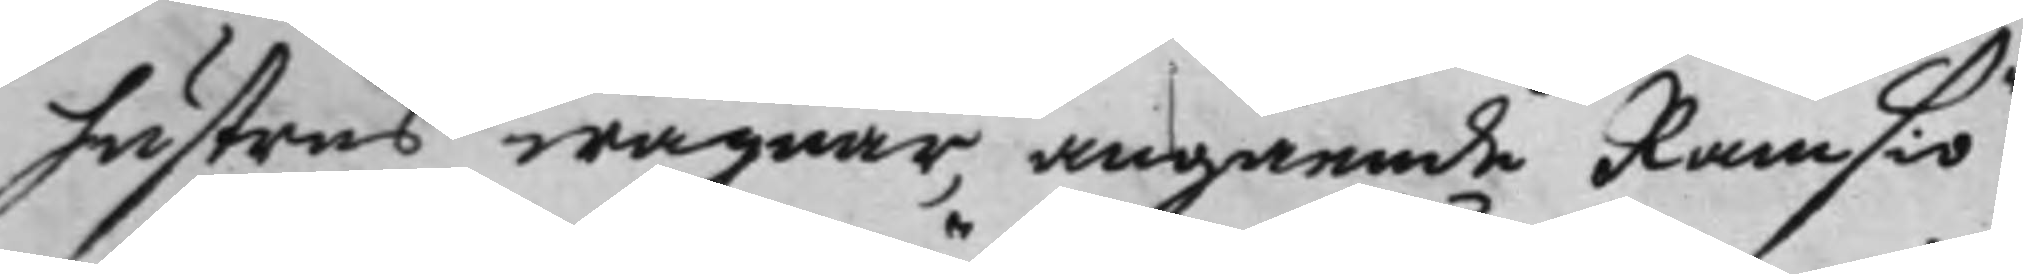hustrus wägnar, angående Ramsiö
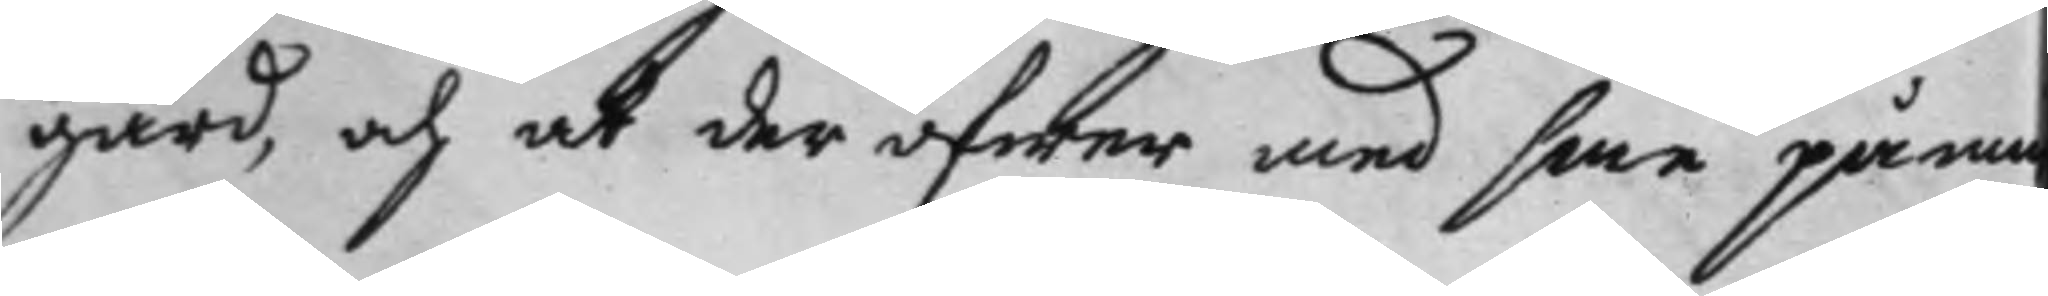gård, och at der öfwer med sina påmi
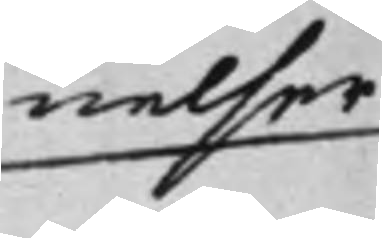nelser
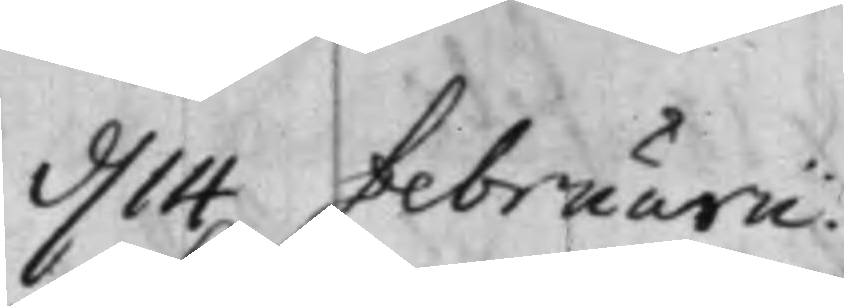d. 14 februarii.
